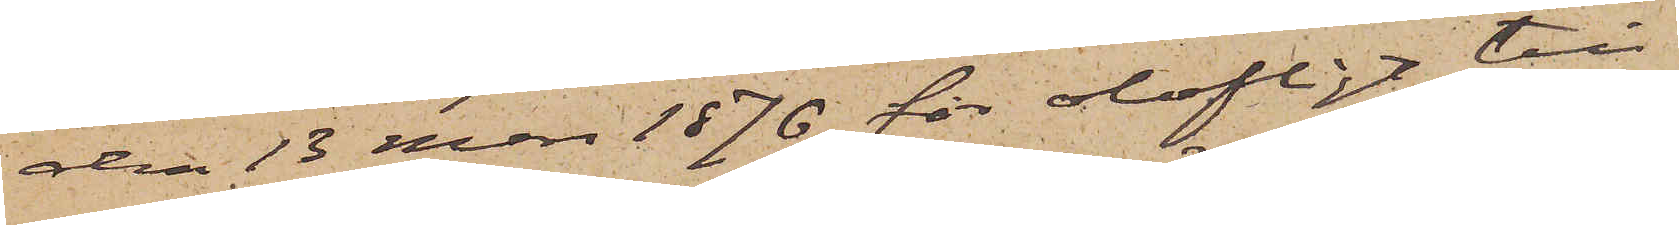den 13 Mars 1876 för olofligt till¬
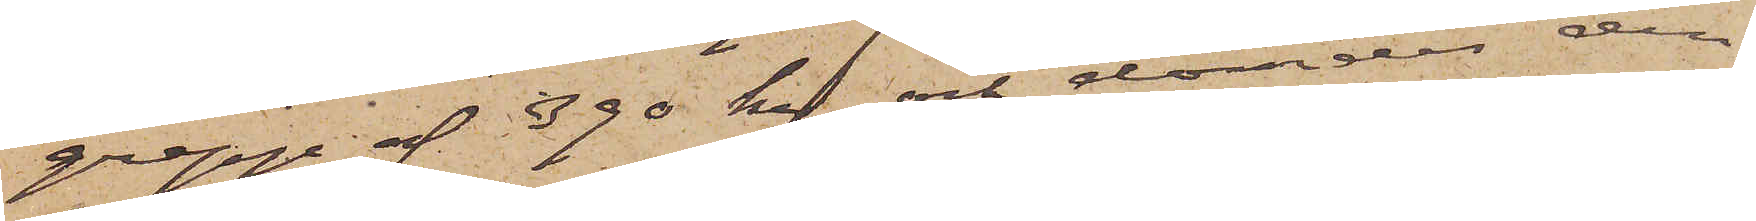grepp af 390 kr och dömdes den
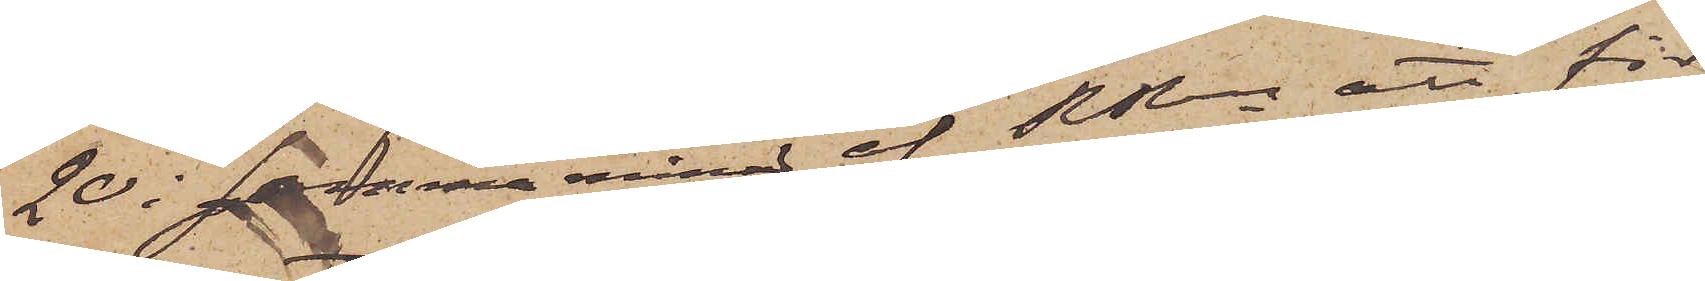20 i samma månad af RRn att för
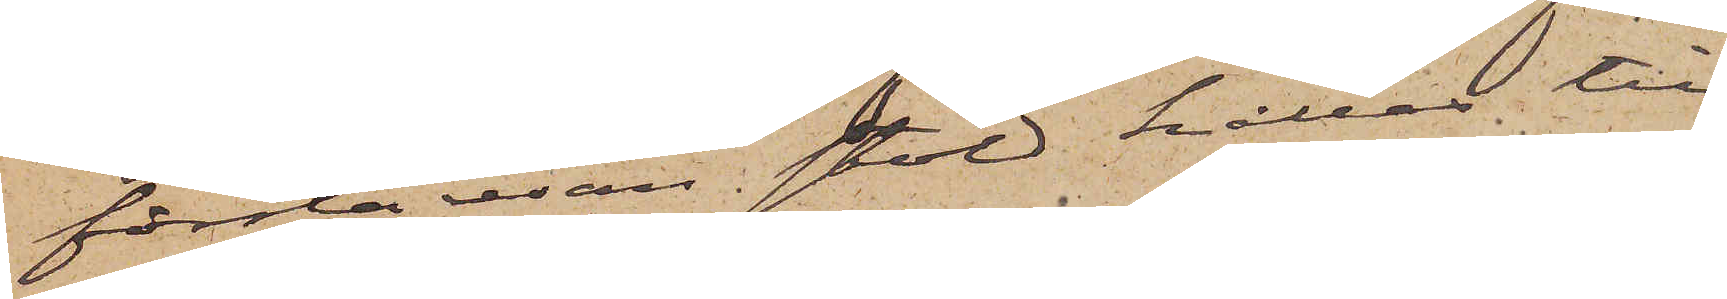första resan stöld hållas till
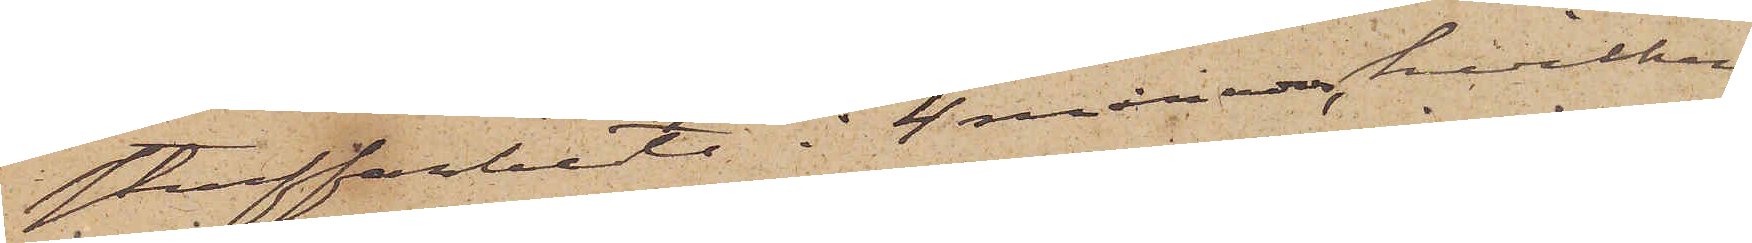straffarbete i 4 månader, hvilken
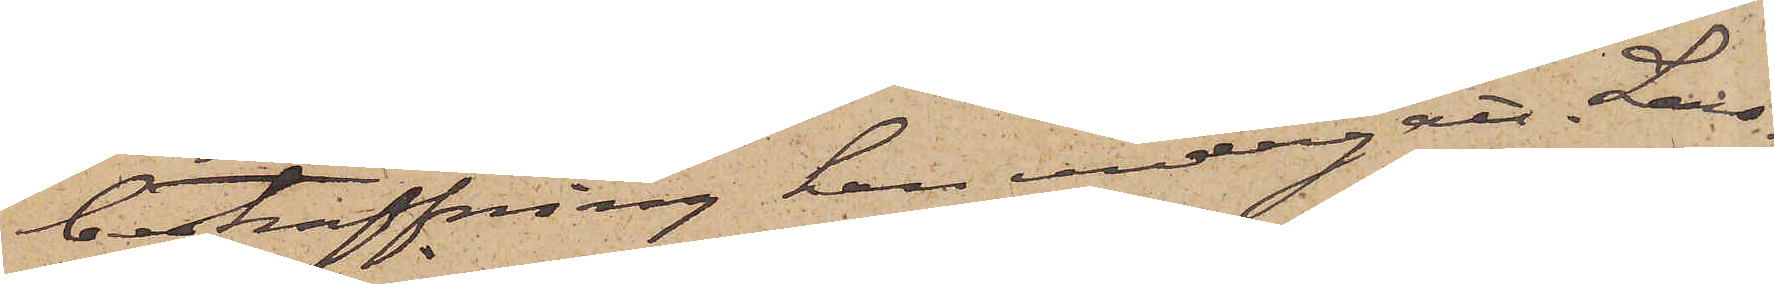bestraffning han undergått. Lars¬
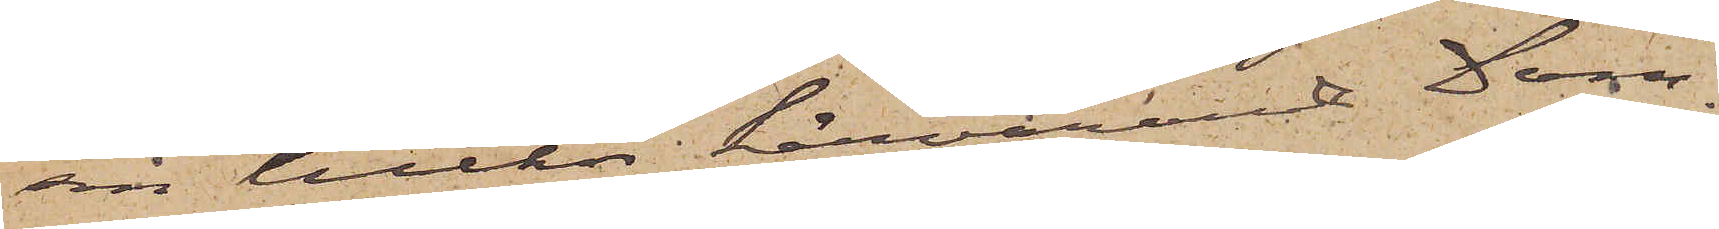son tillhör härvarande Dom¬
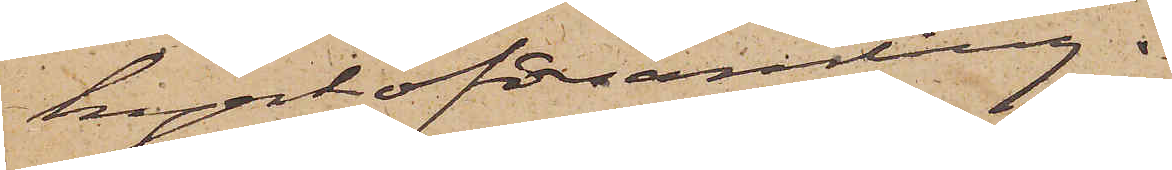kyrkoförsamling.
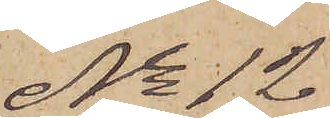No 12
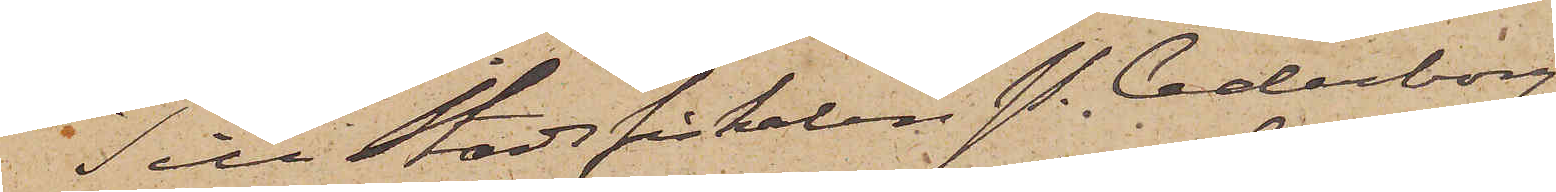Till Stadsfiskalen P. Cederborg
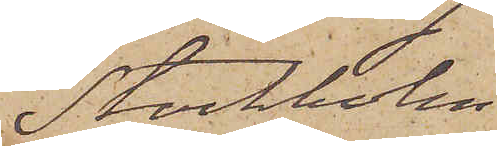Stockholm
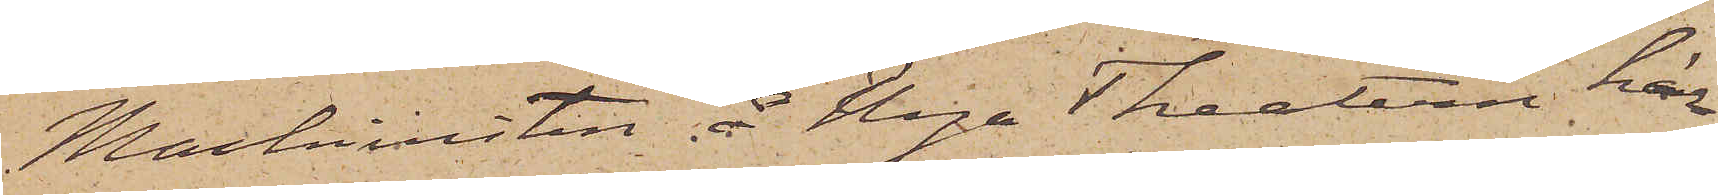Maskinisten å Nya Theatern här¬
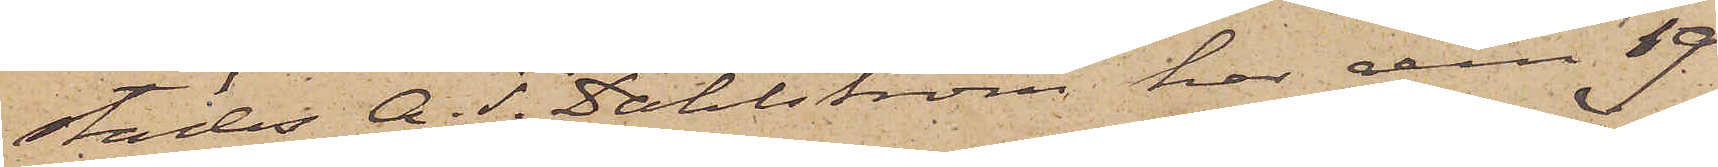städes A. T. Dahlström har den 19
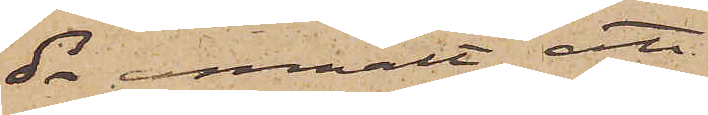ds anmält att
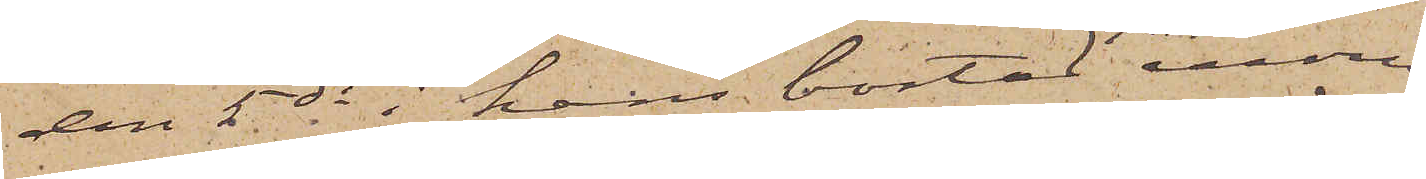den 5 ds i hans bostad inom
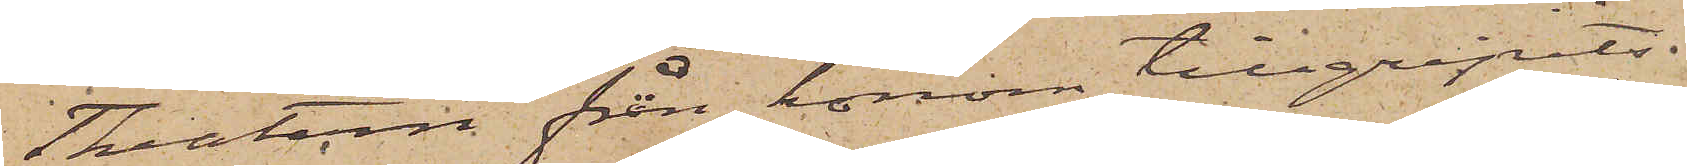Theatern från honom tillgripits.
